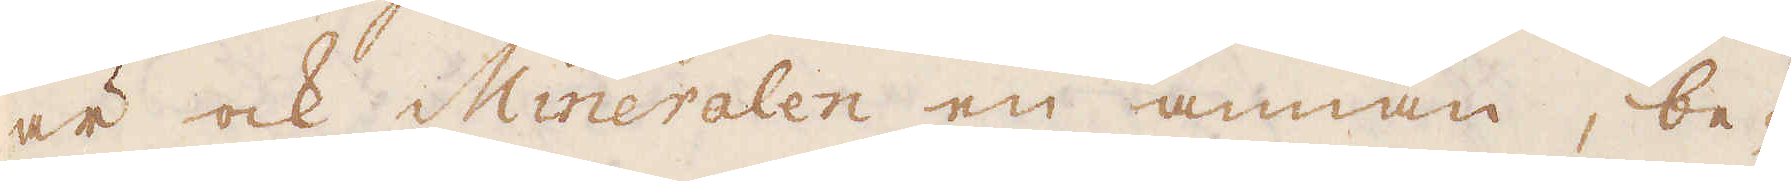är ock Mineralen en annan, be-
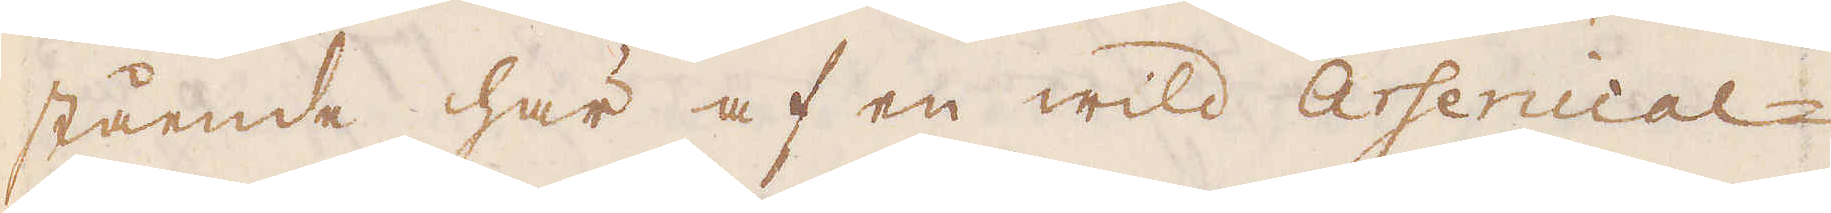stående här af en wild Arsenical-
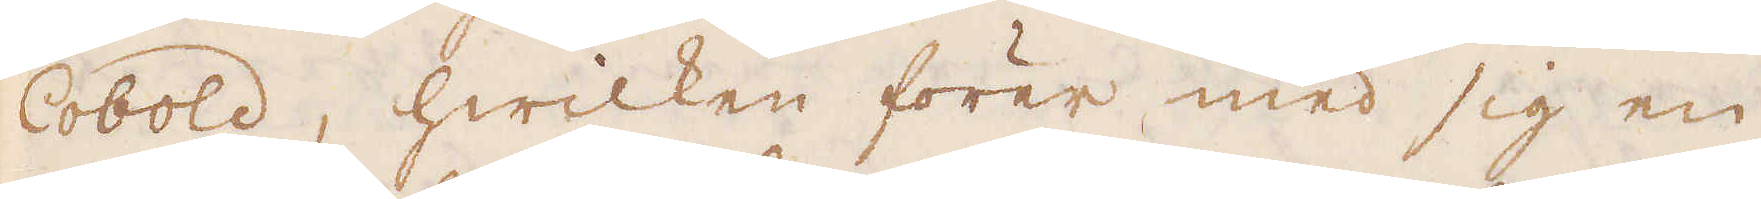Cobold, hwilken förer med sig en
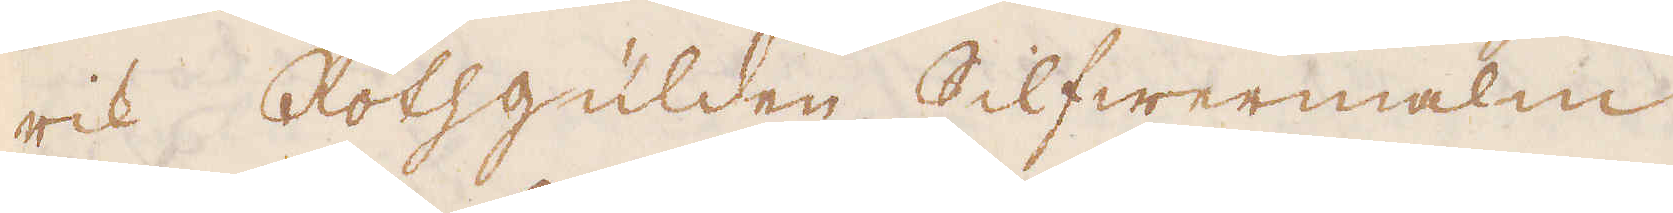rik Rothgülden Silfwermalm
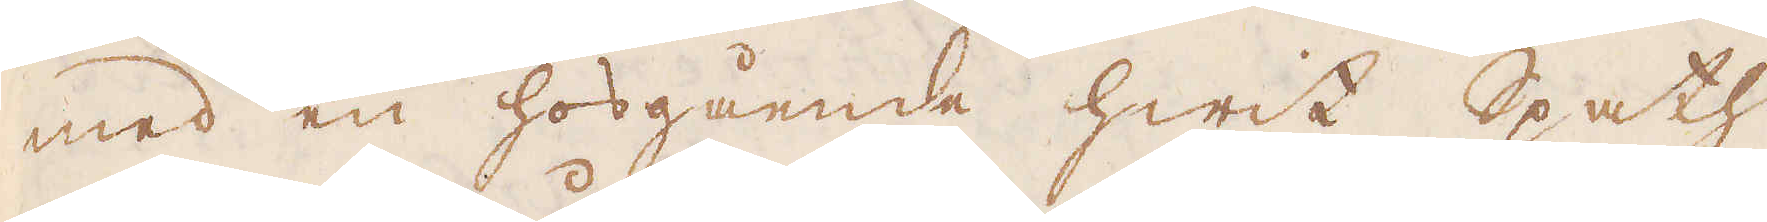med en hosgående hwit Spath
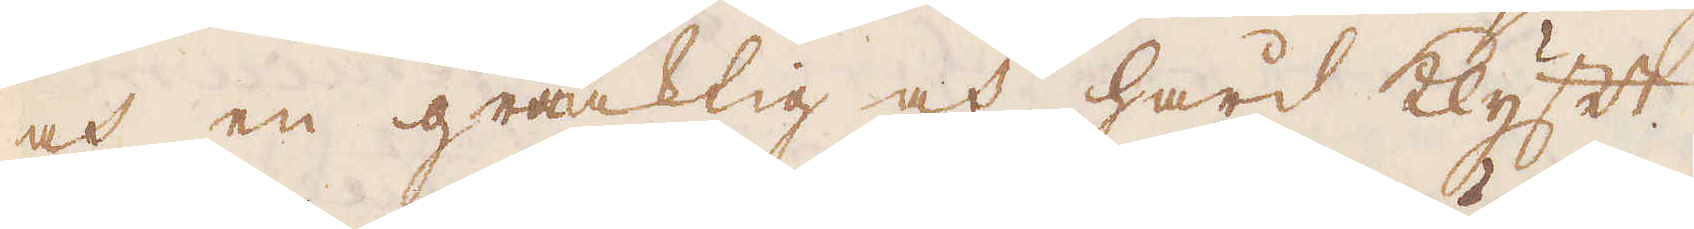och en gråaktig och hård klyft.
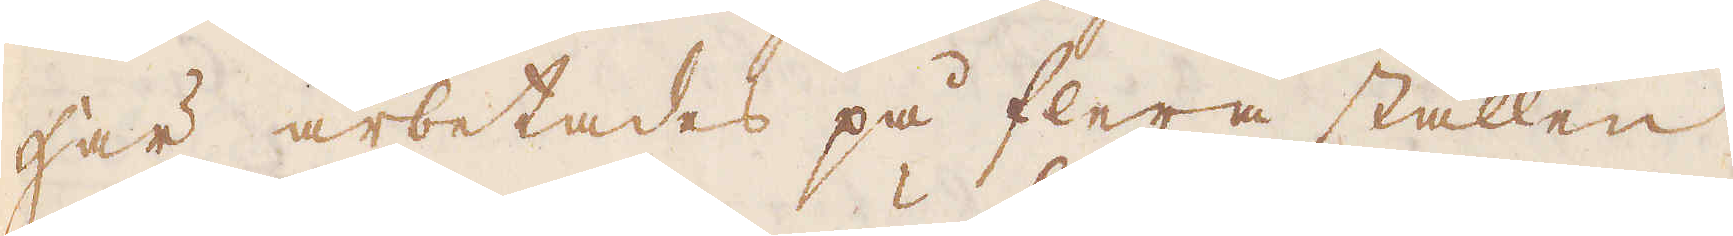Här arbetades på flera ställen
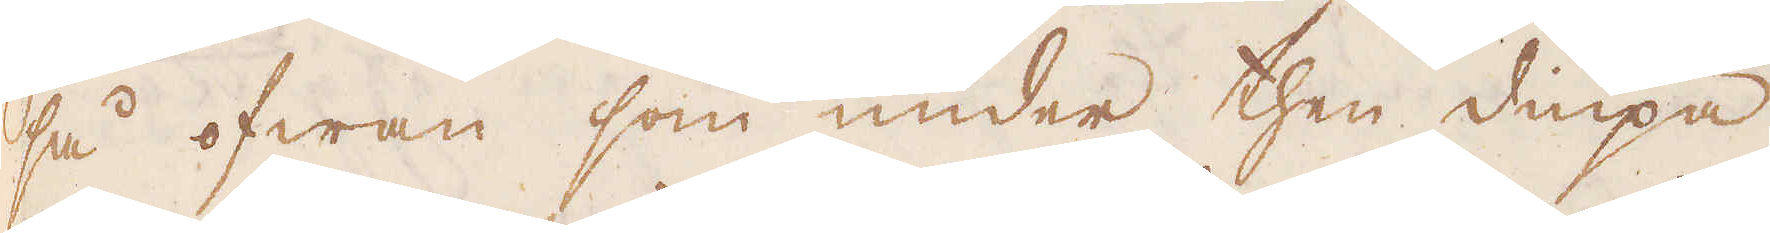så ofwan som under then diupa
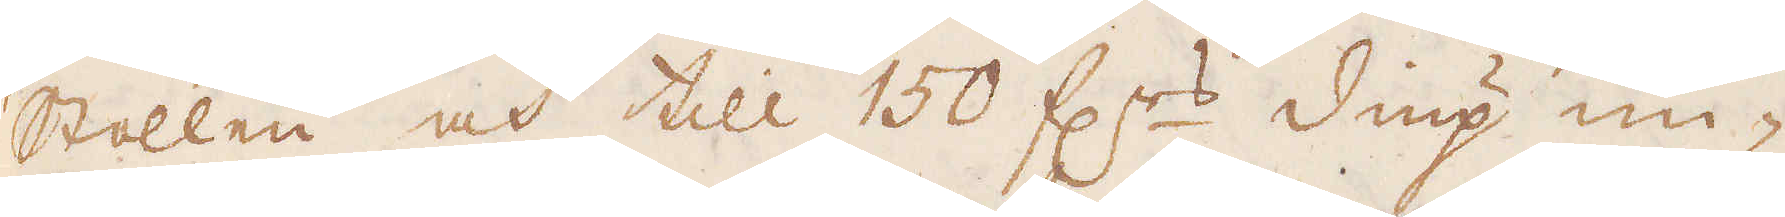stollen och till 150 f:rs diup un-
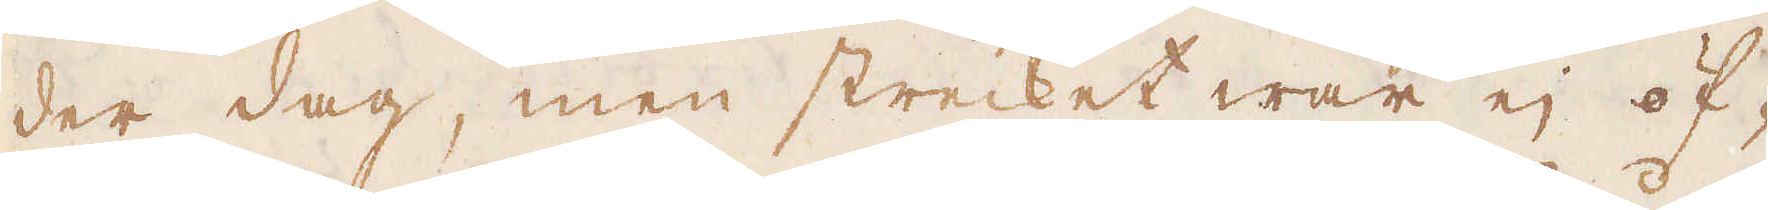der dag, men strecket war ej öf-
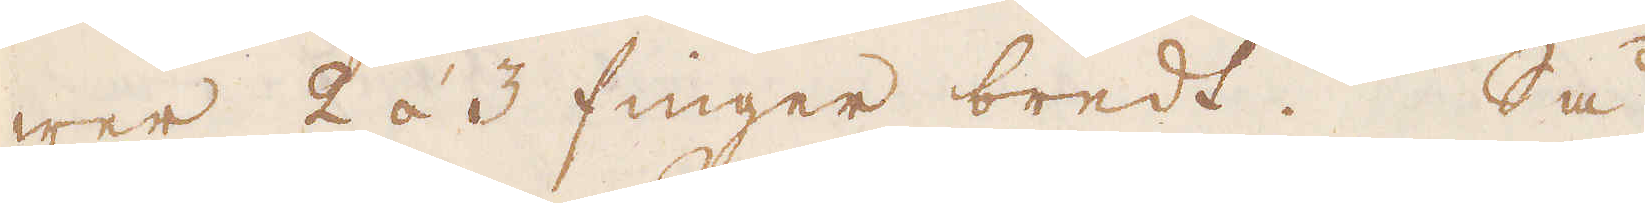wer 2 á 3 finger bredt. Så
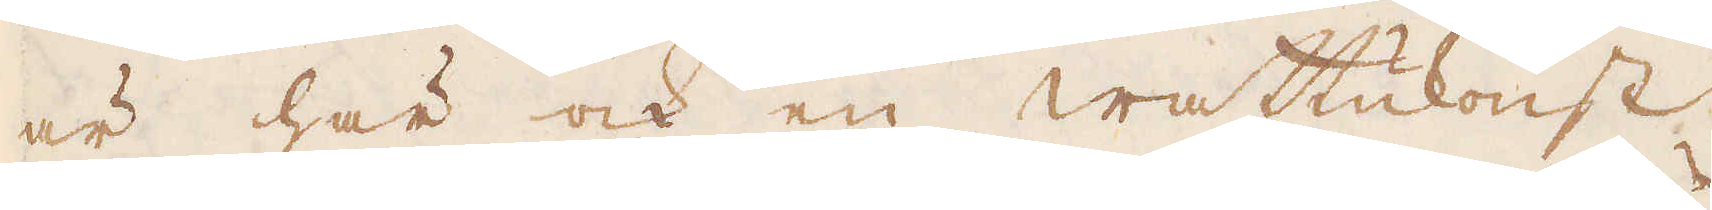är här ock en wattukonst
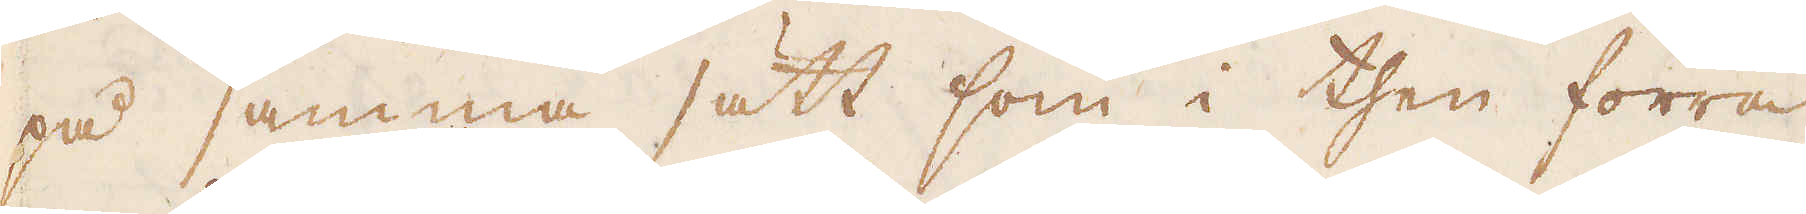på samma sätt som i then förra
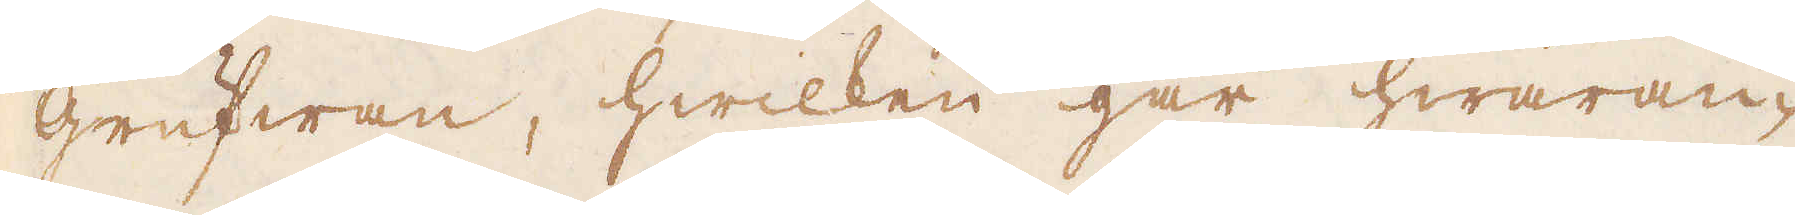grufwan, hwilken går hwaran-
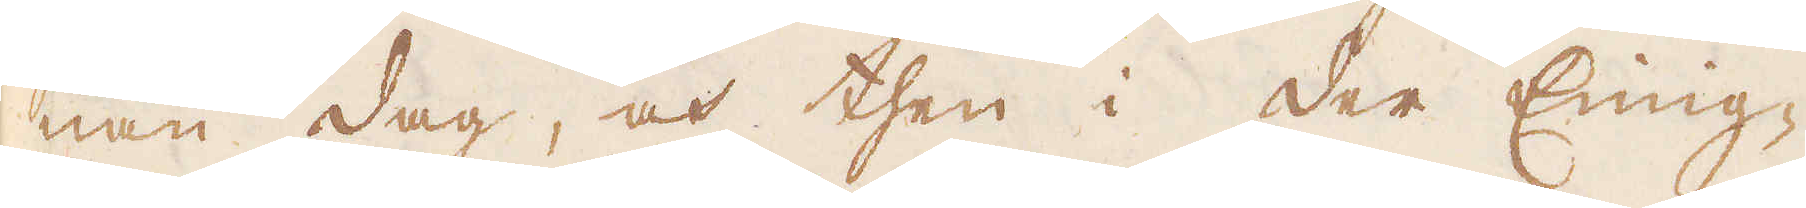nan dag, och then i Der Einig-
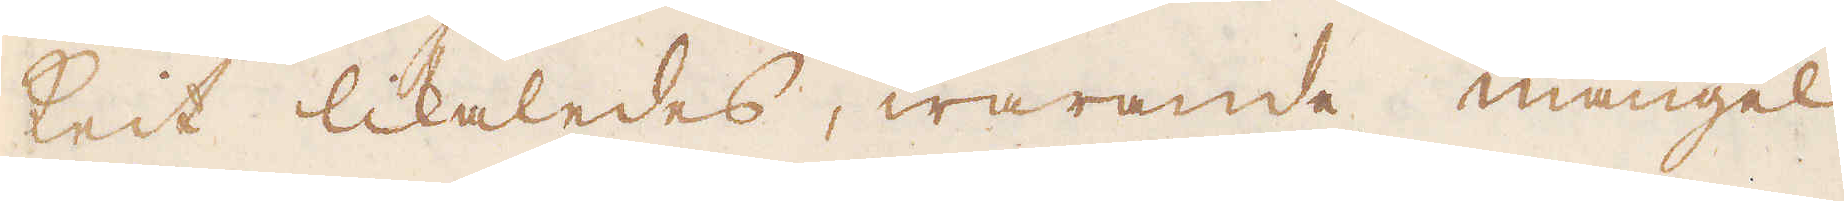keit likaledes, warande mangel
